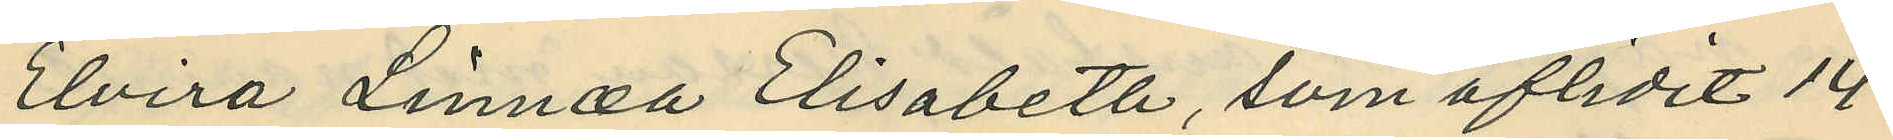Elvira Linnea Elisabeth, som aflidit 14
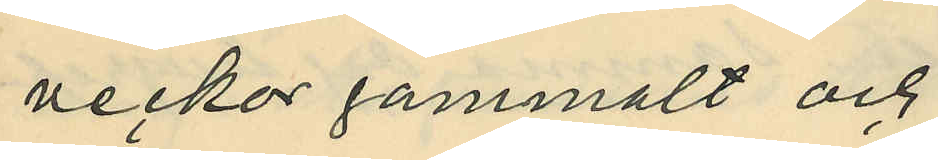veckor gammalt och
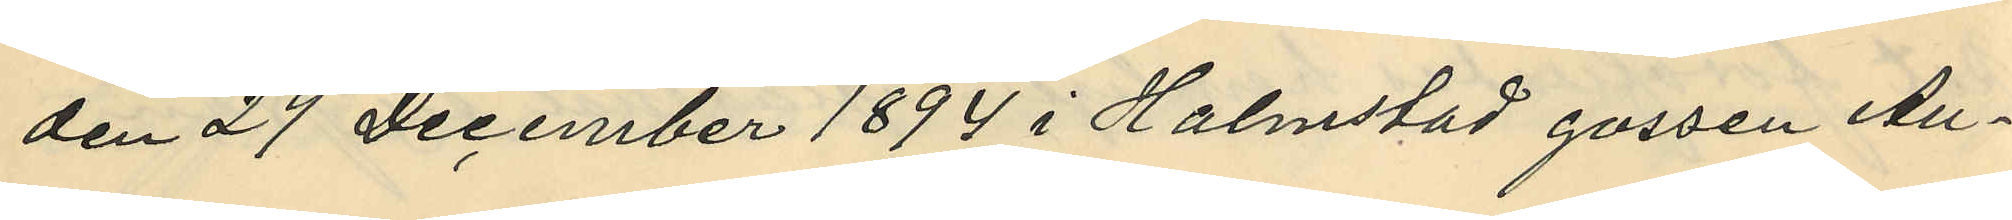den 29 December 1894 i Halmstad gossen Au¬
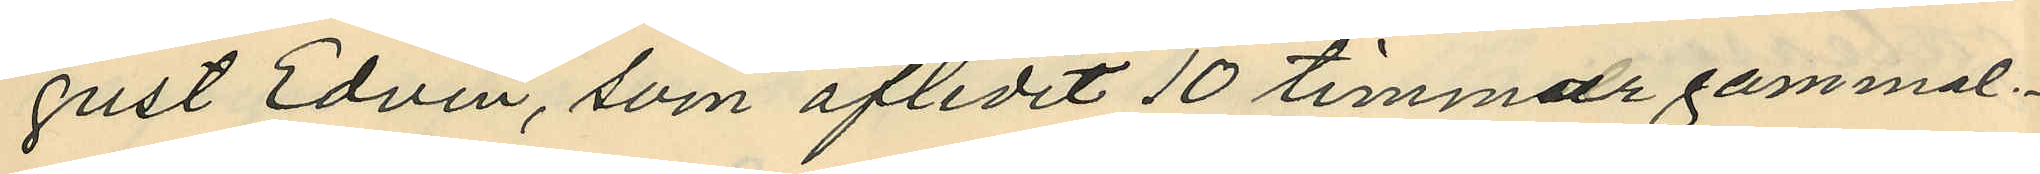gust Edvin, som aflidit 10 timmar gammal.
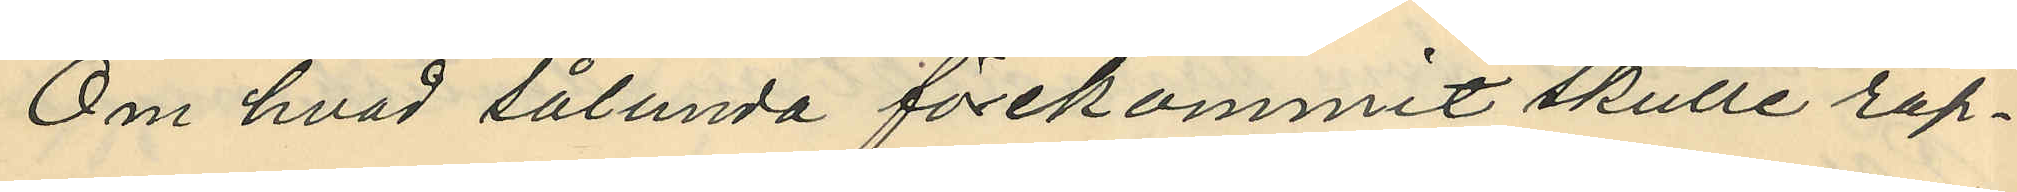Om hvad sålunda förekommit skulle rap¬
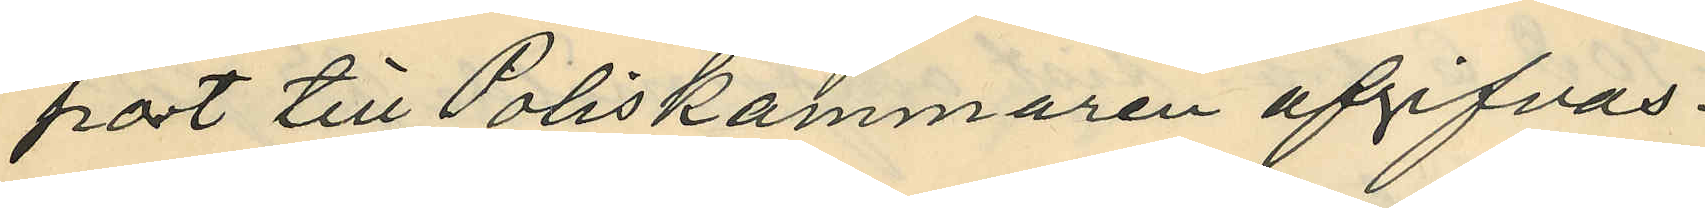port till Poliskammaren afgifvas.
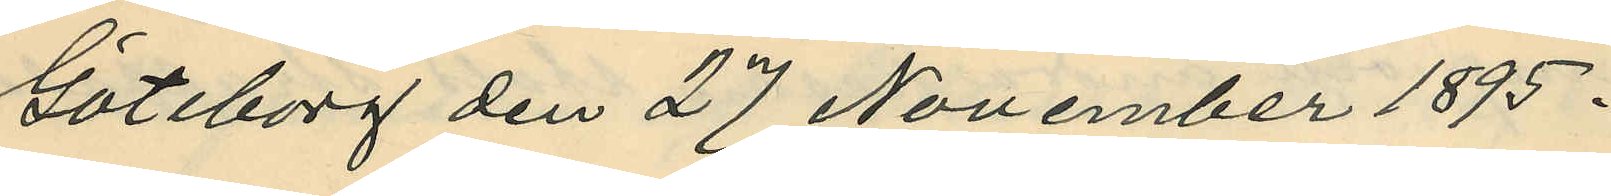Göteborg den 27 November 1895.
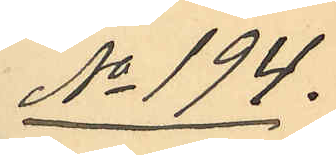No 194.
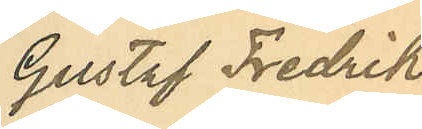Gustaf Fredrik
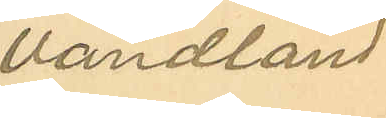Vandland
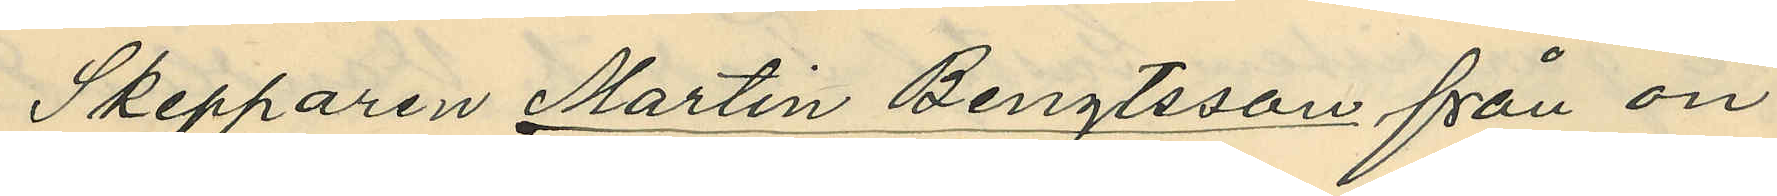Skepparen Martin Bengtsson från ön
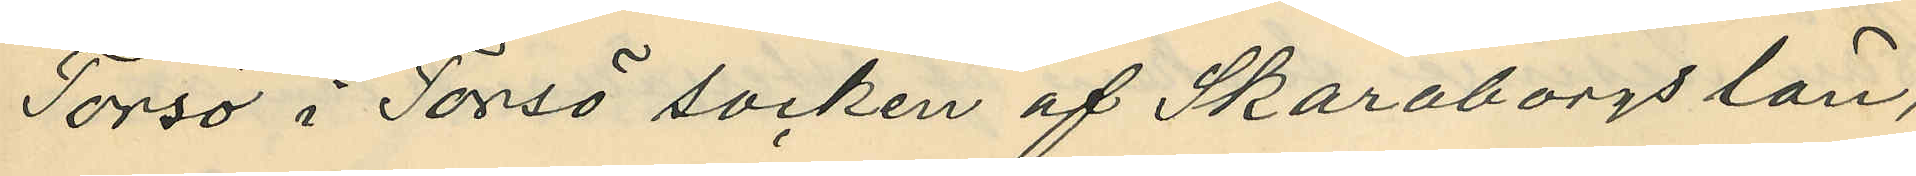Torsö i Torsö socken af Skaraborgs län,
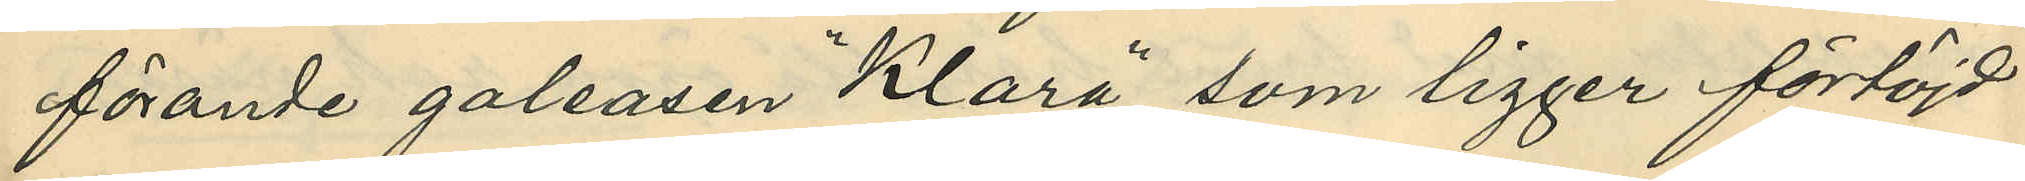förande galeasen "Klara", som ligger förtöjd
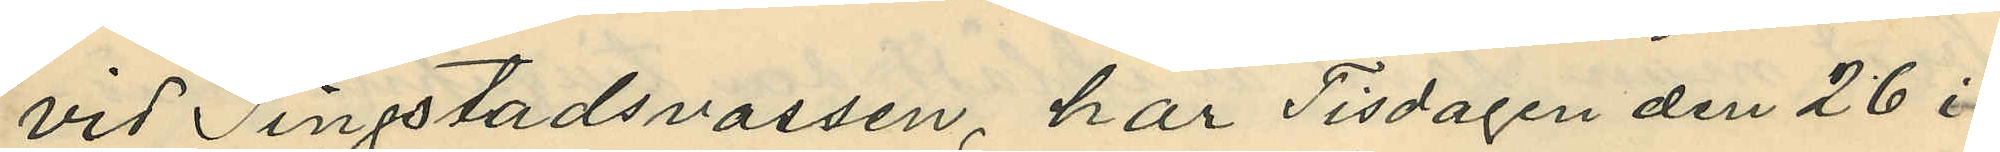vid Tingstadsvassen, har Tisdagen den 26 i
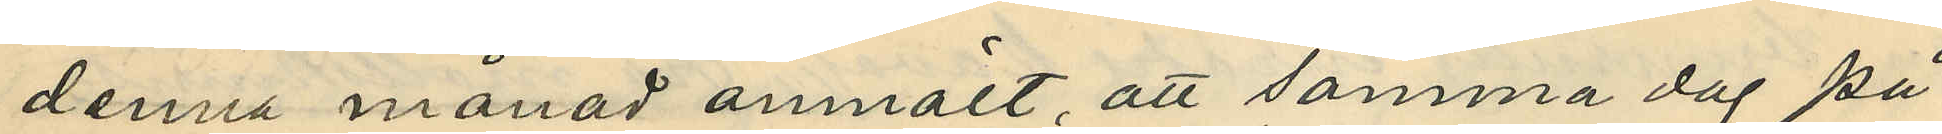denna månad anmält, att samma dag på
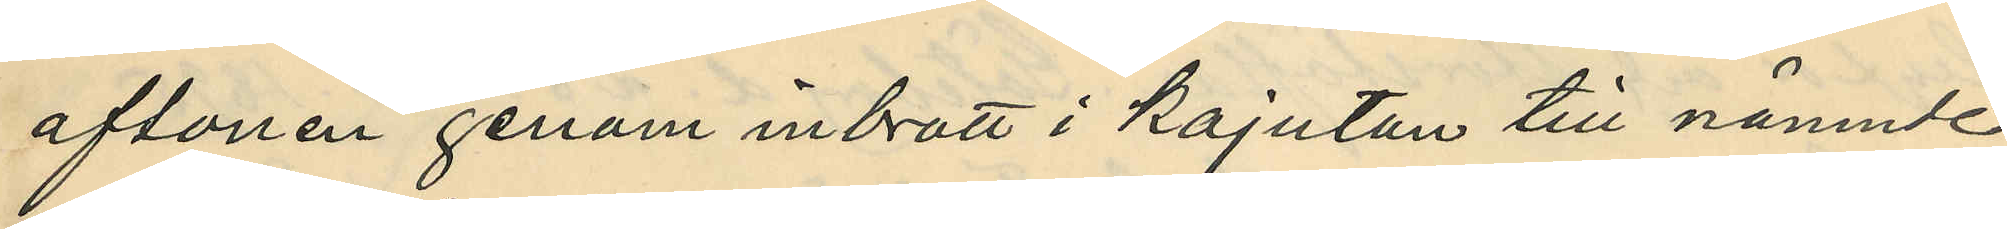aftonen genom inbrott i kajutan till nämnde
